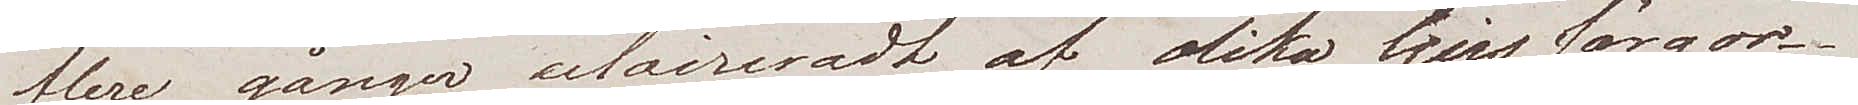flere gånger eclaireradt af olika ljus färgrer.
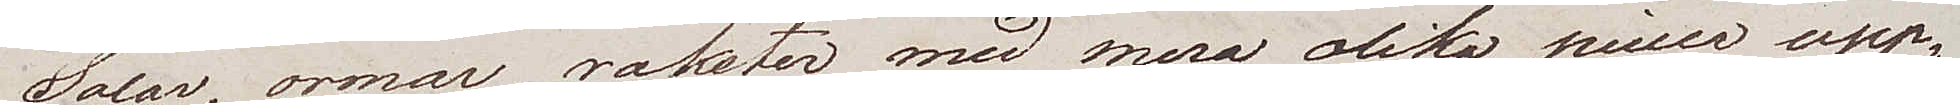Solar, ormar, raketer med mera olika piecer upp¬
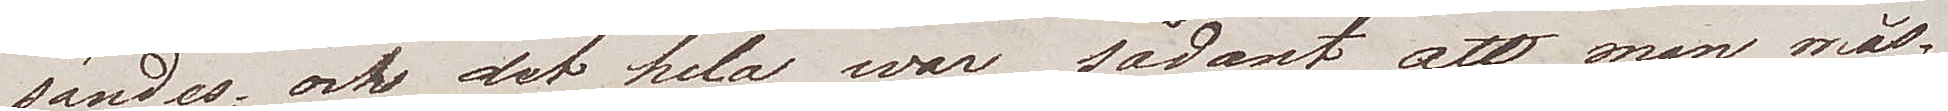sändes, och det hela war sådant att man mås¬
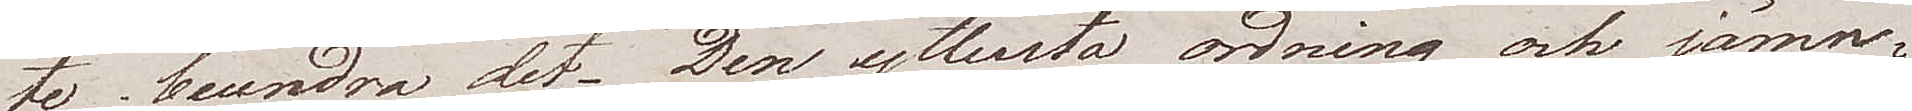te beundra det. Den yttersta ordning och jämn¬
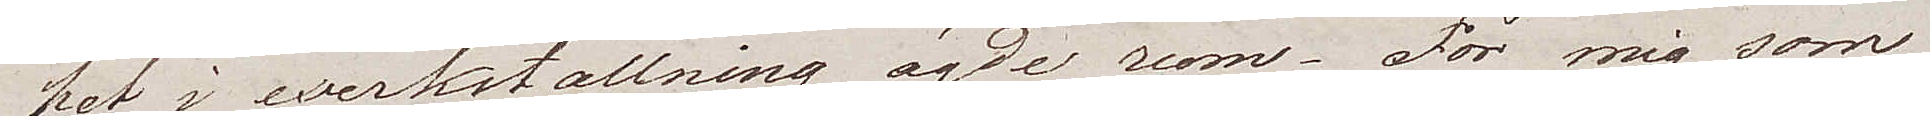het i werkiställning ägde rum – För mig som
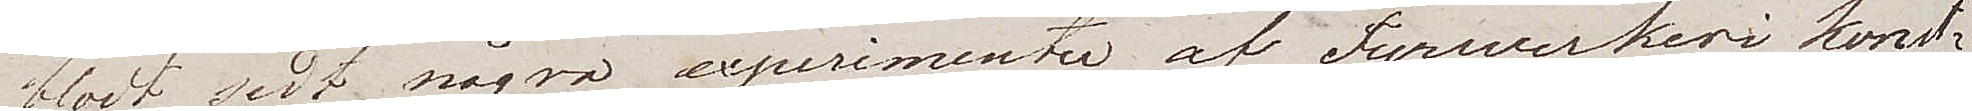blot sedt några experimenter af fyrwerkeri konst¬
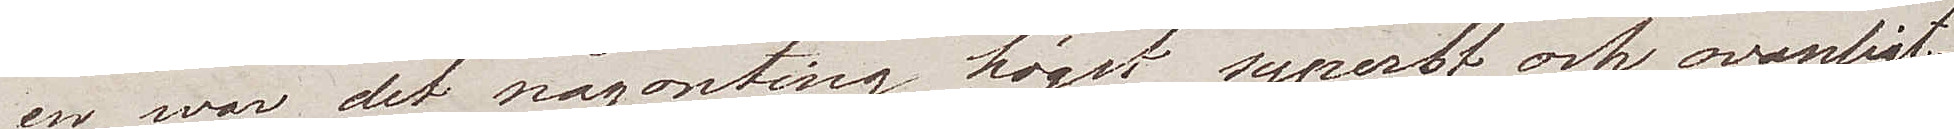en, war det någonting högst syperbt och ovanligt.
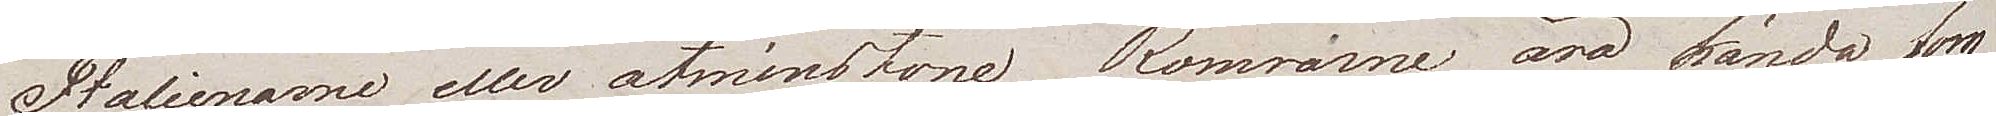Italienarna eller åtminstone Rommarne äro kända som
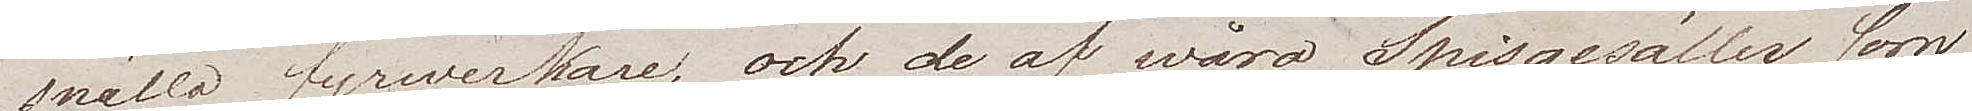snälla fyrwerkare, och de av wåra Spisgesäller som 
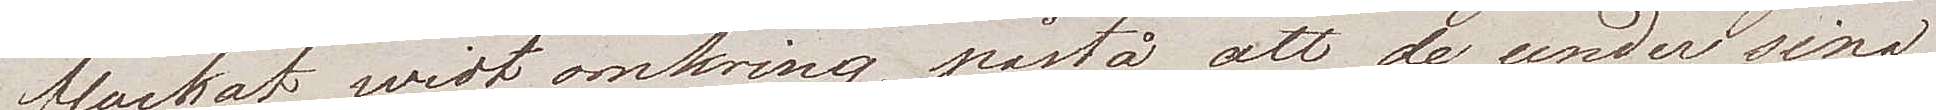flackat widt omkring, påstå att de under sina
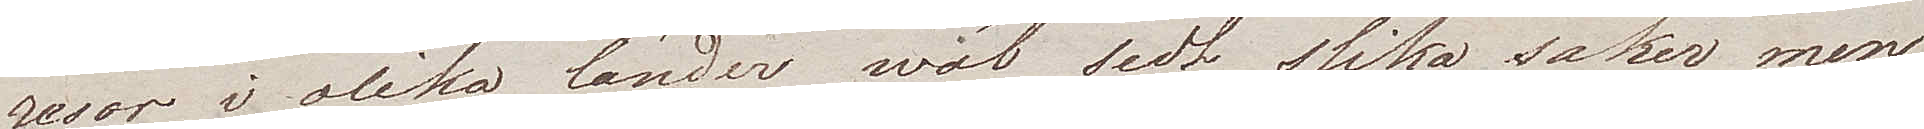resor i olika länder wäl sedt slika saker men
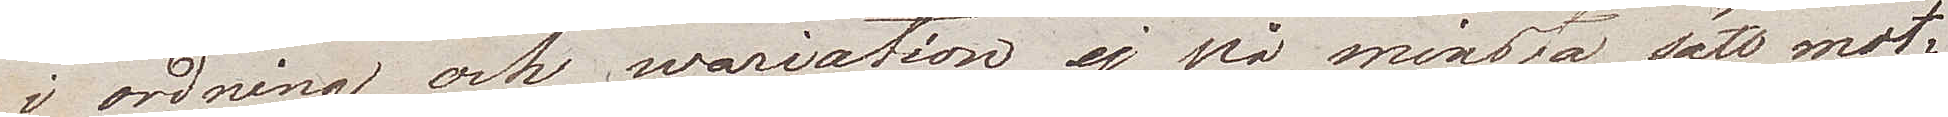i ordning och wariation ej på mindsta sätt mot¬
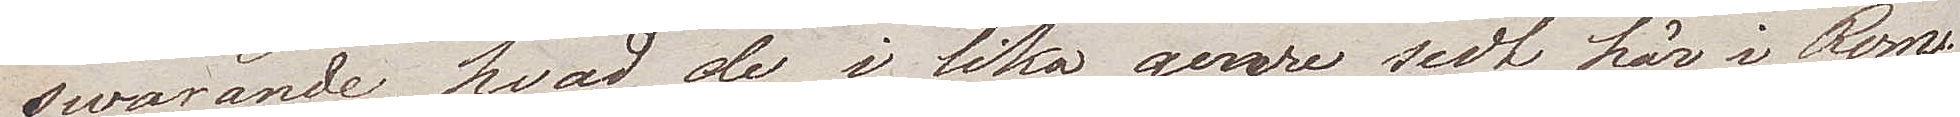swarande, hvad de i lika genre sedt här i Rom.
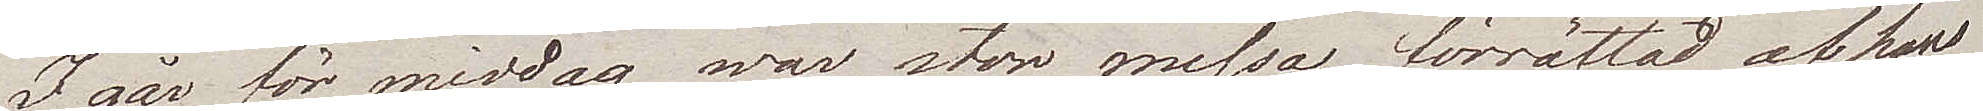I går för middag war stor messa förrättad af hans
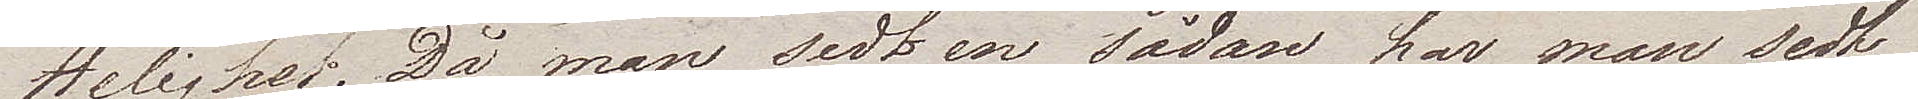Helighet. Då man sedt en sådan har man sedt
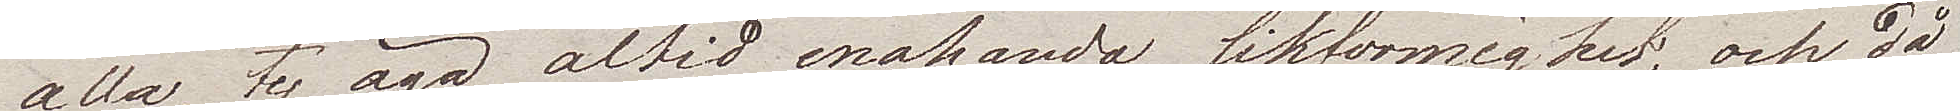alla, ty äga altid enahanda likformighet, och då
